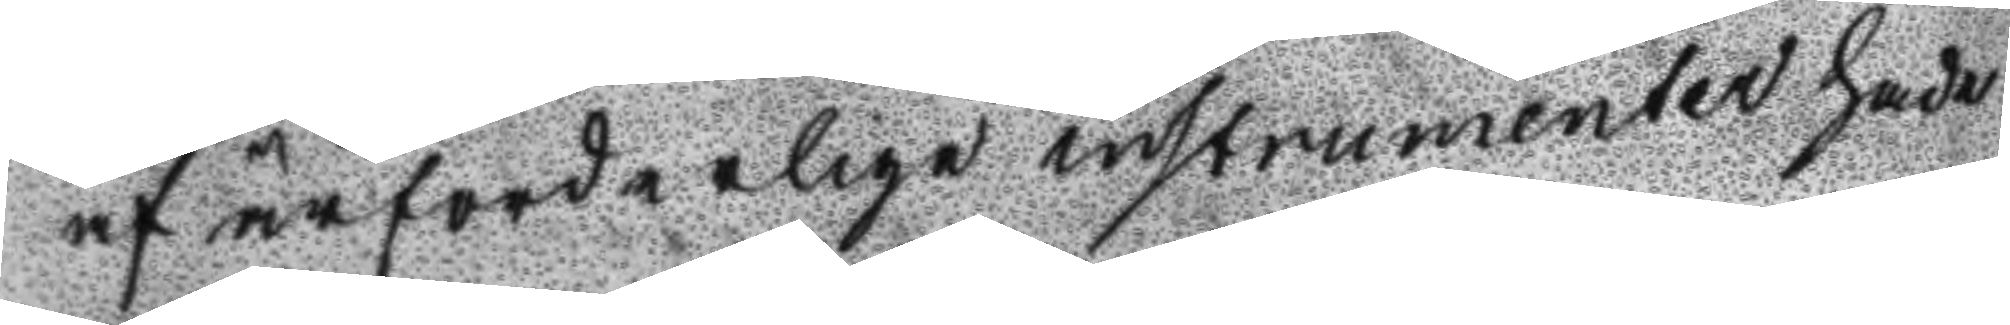af ärforderlige instrumenter hade
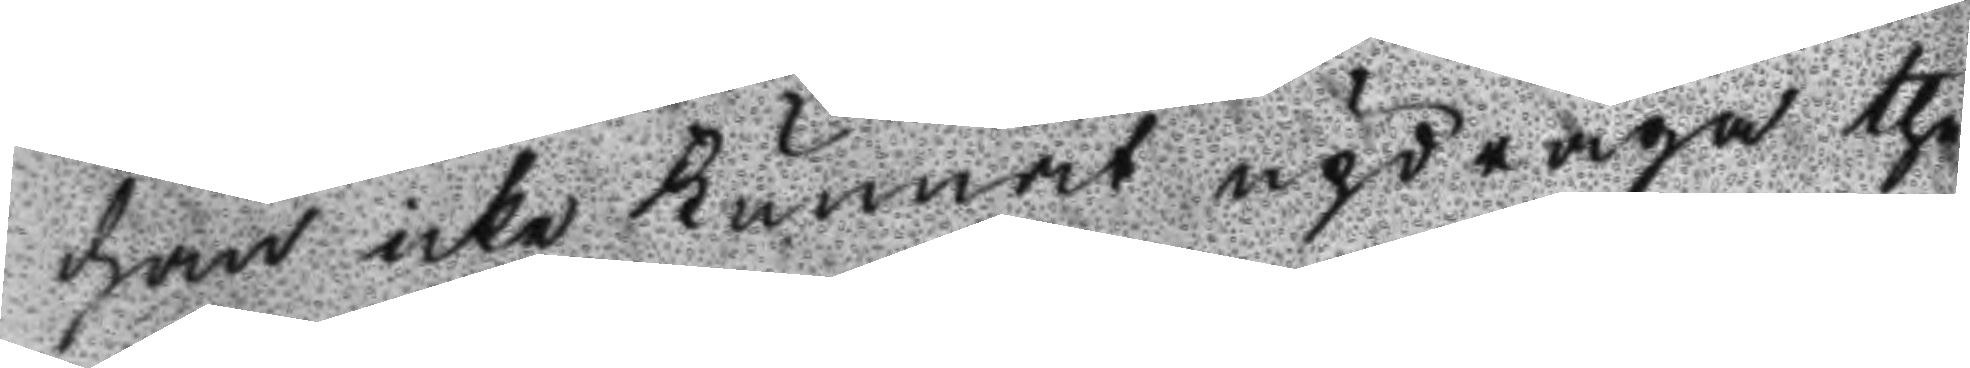han icke kunnat updraga the
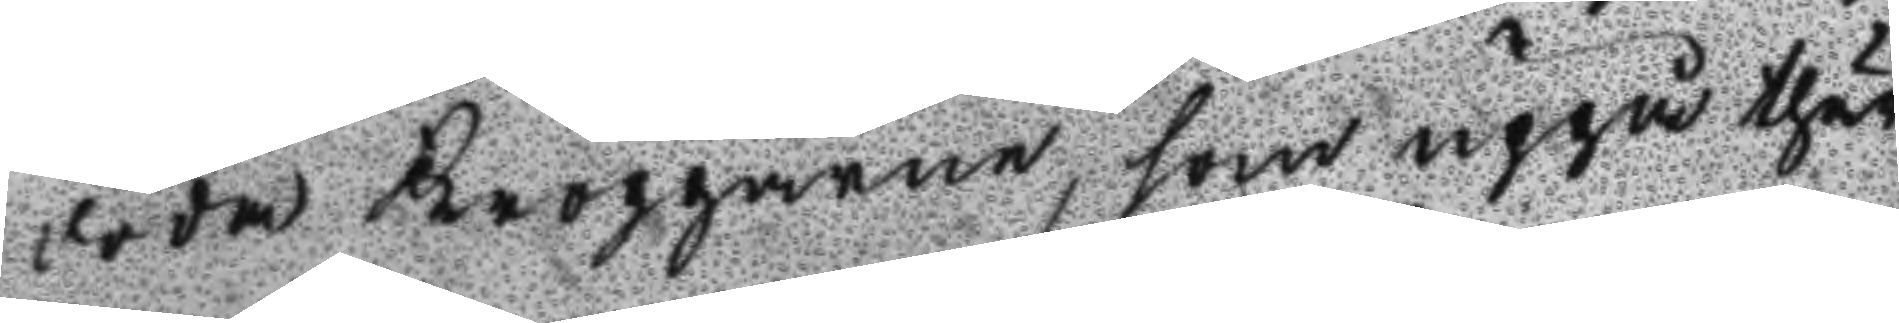döda kropparne, som uppå thär
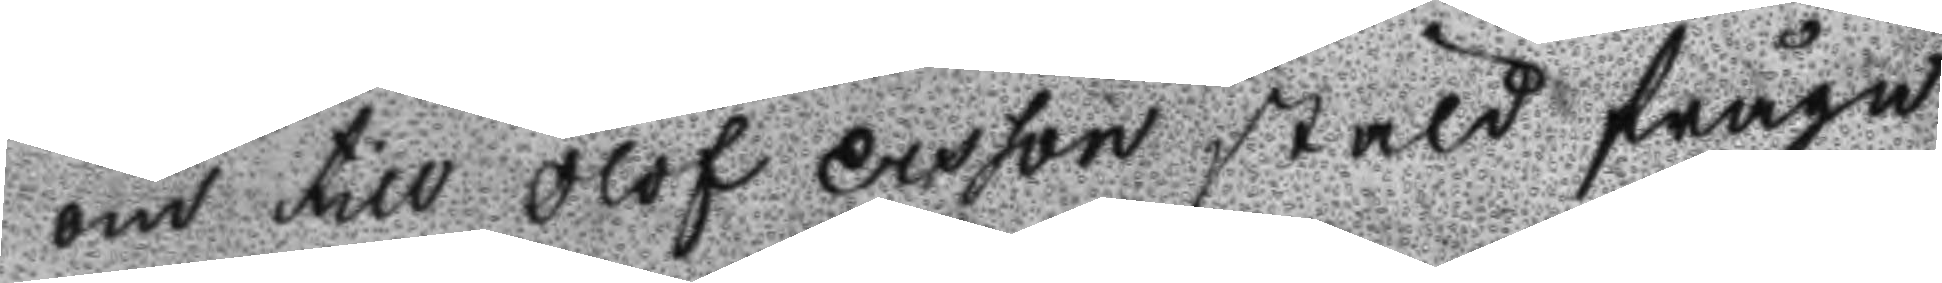om till Olof ersson stäld fråga
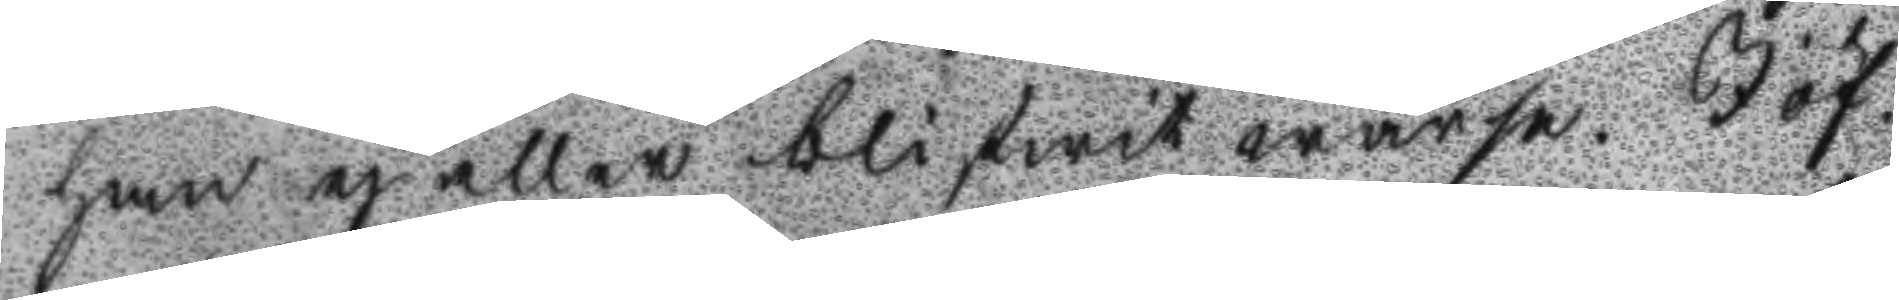han ej eller blifwit warse. I öf¬
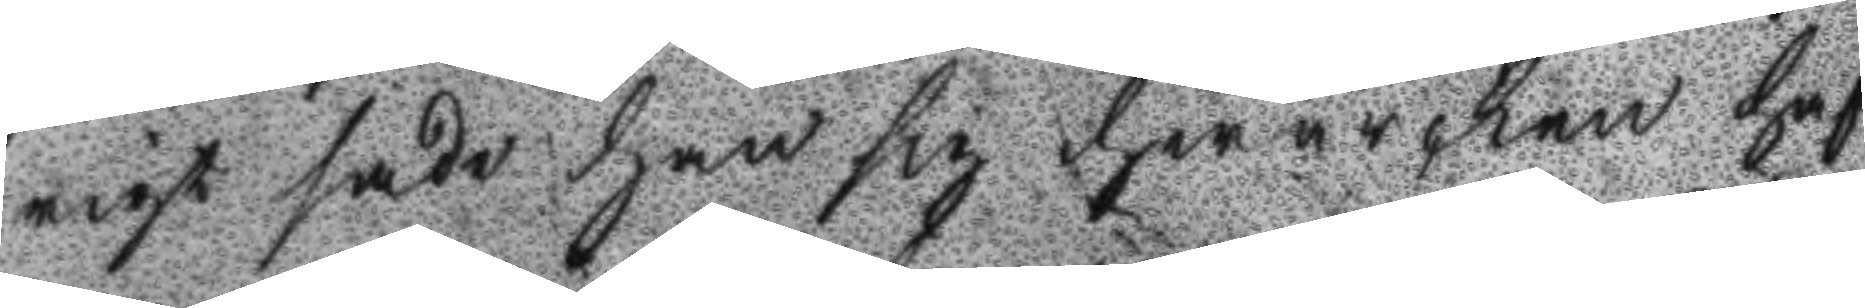rigt sade han sig hwarken haf
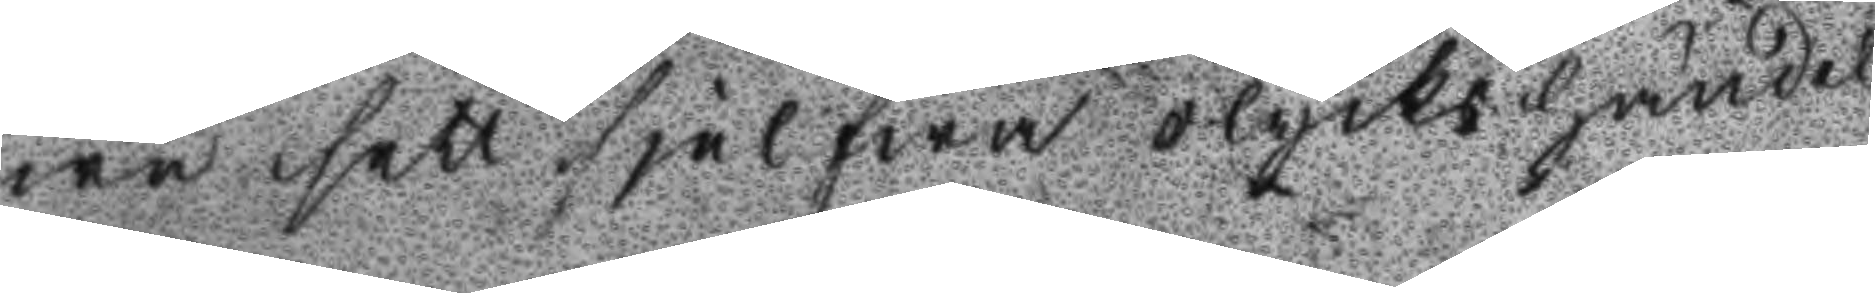wa sett sjelfwa olyckshänel
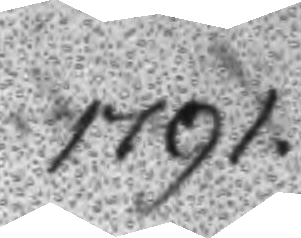1791.
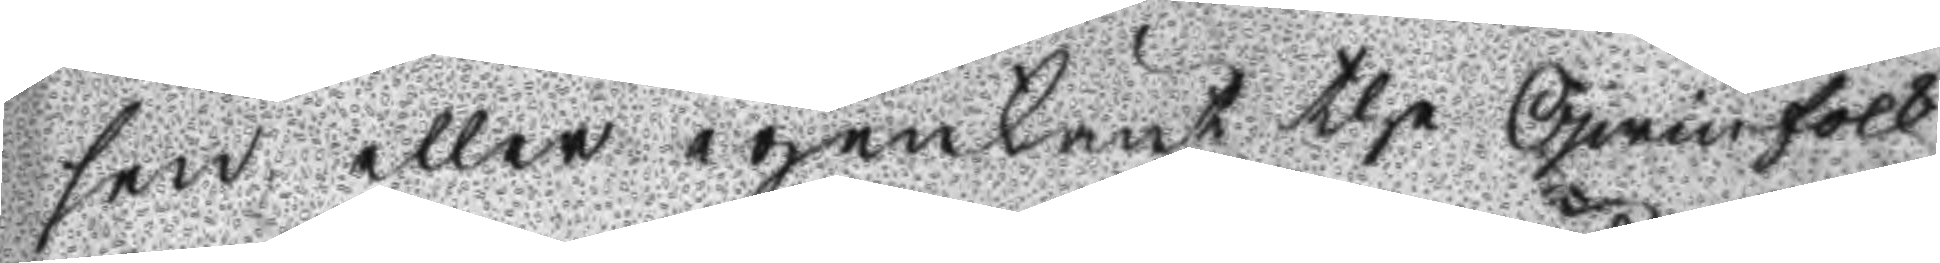sen eller igenkänt the Qwinfolk
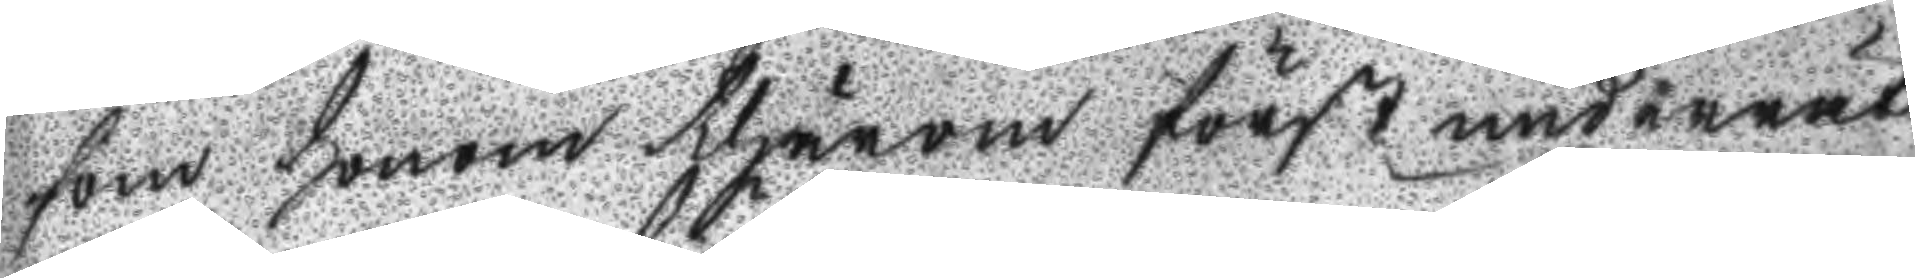som honom thärom först underrät
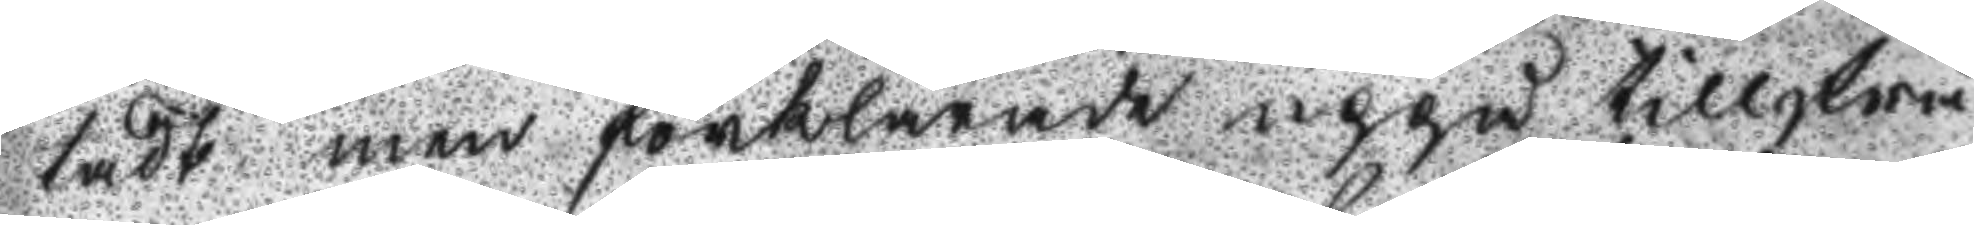tadt men förklarade uppå tillfrå
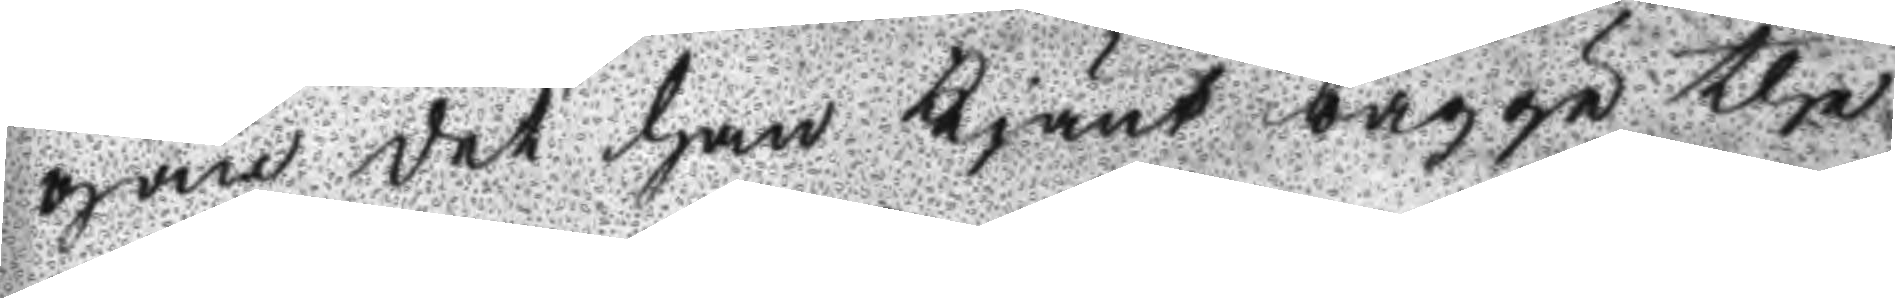gan det han kjänt bägge the
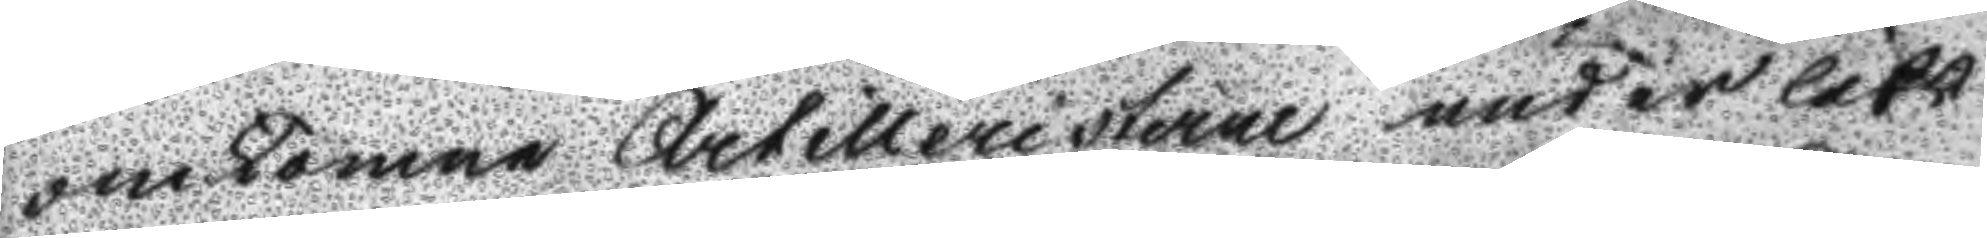omkomne Artilleristerne under lifs
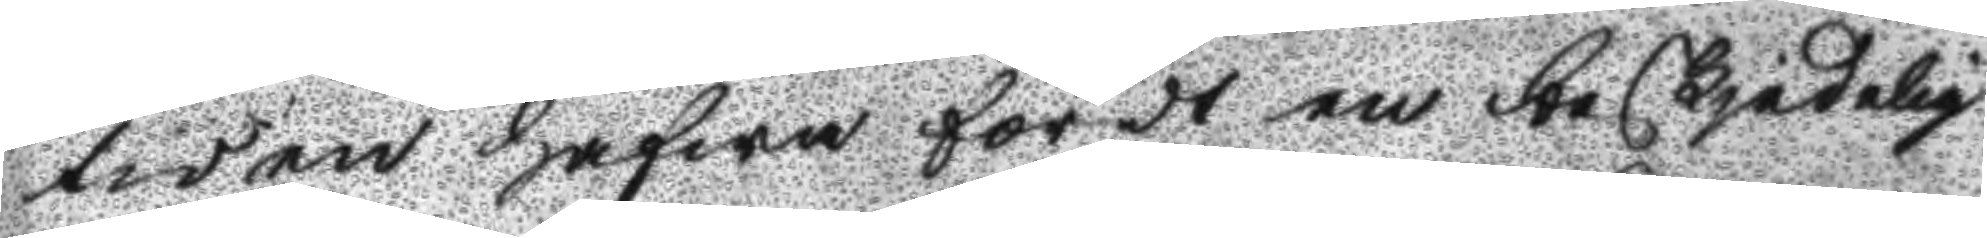tiden hafwa fördt en beskjedelig
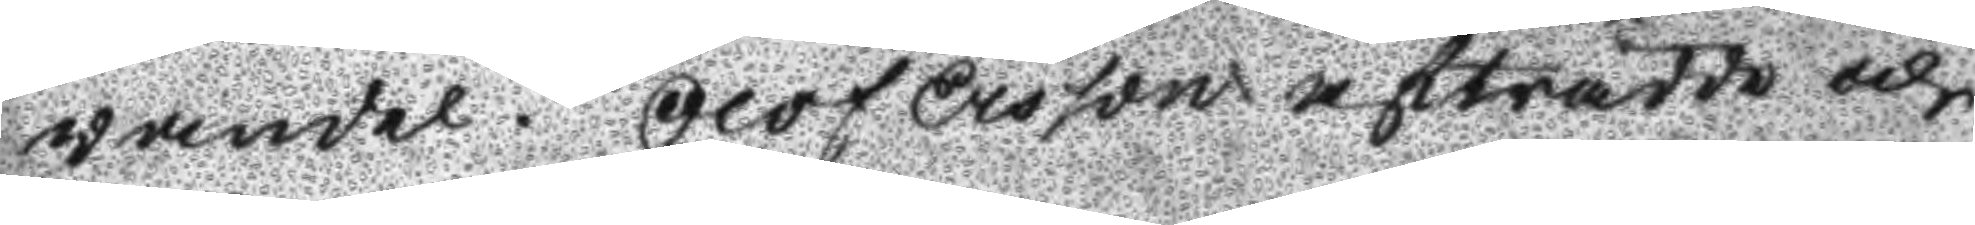wandel. Olof ersson afträdde och
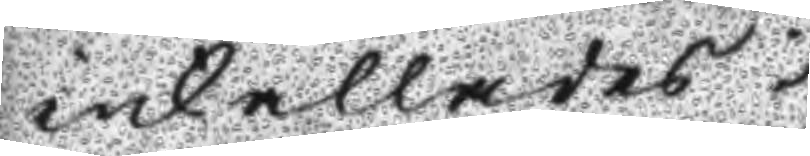inkallades
